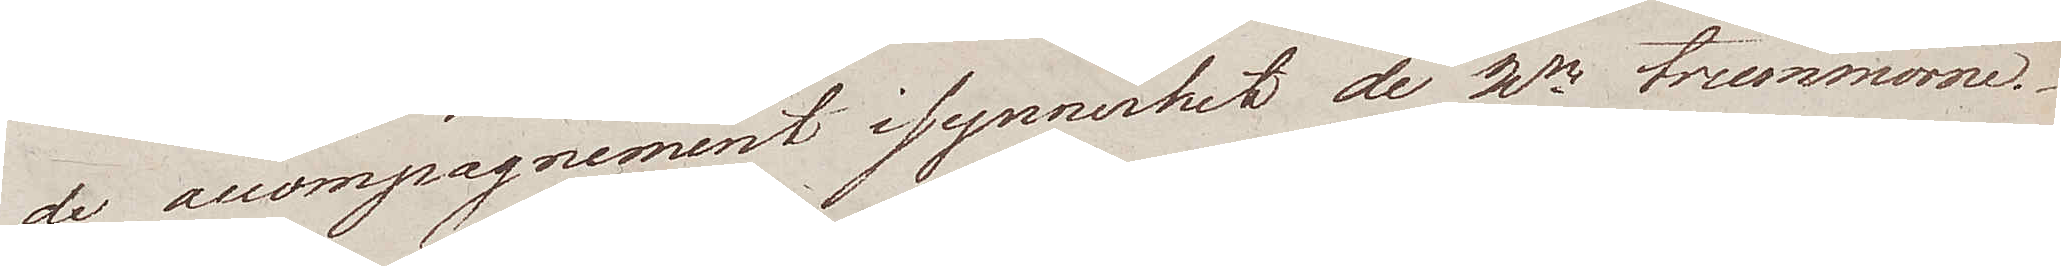de accompagnement i synnerhet de 2ne trummorne.
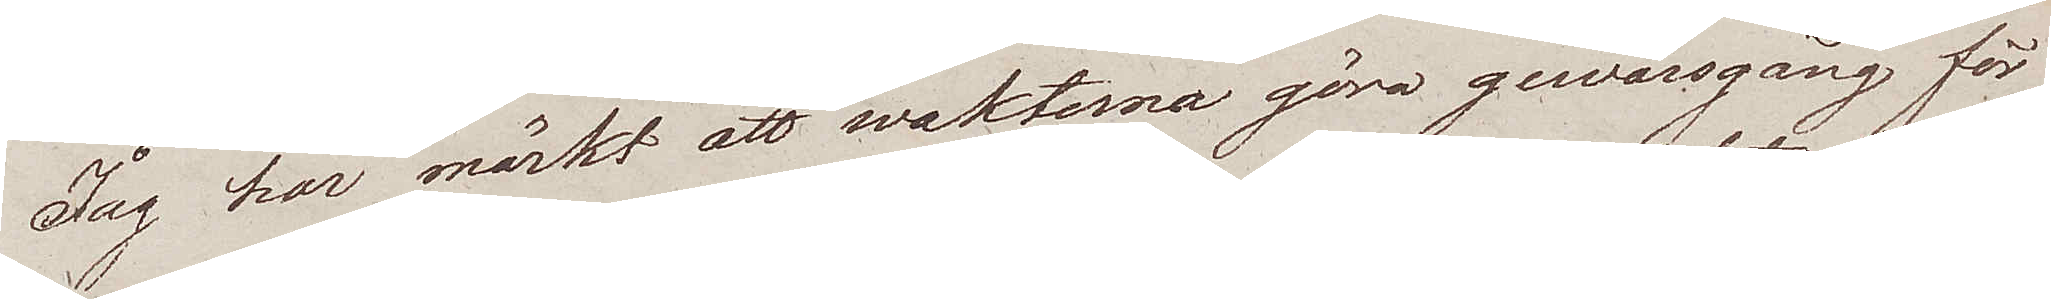Jag har märkt att wakterna göra gewärsgång för
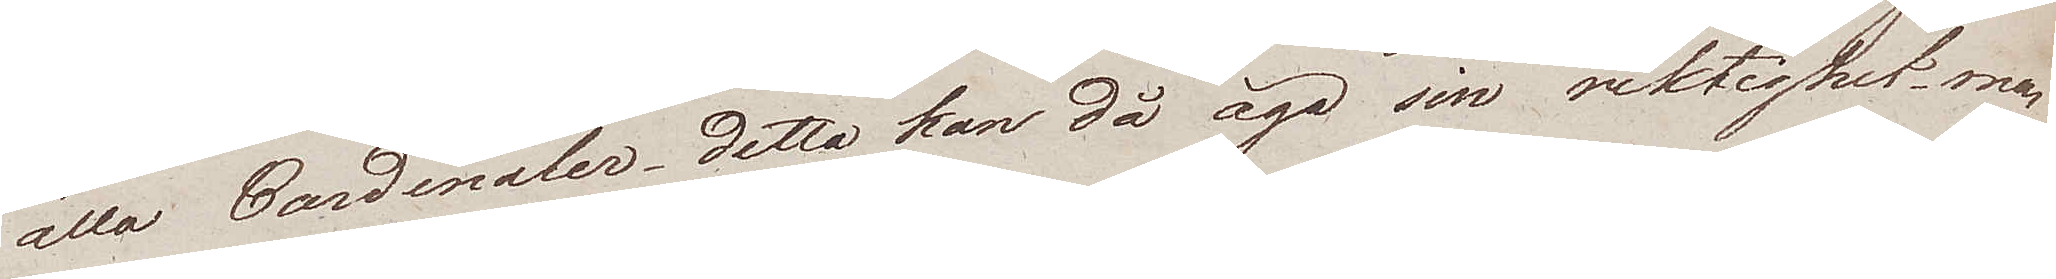alla Cardinaler detta kan då äga sin riktighet men
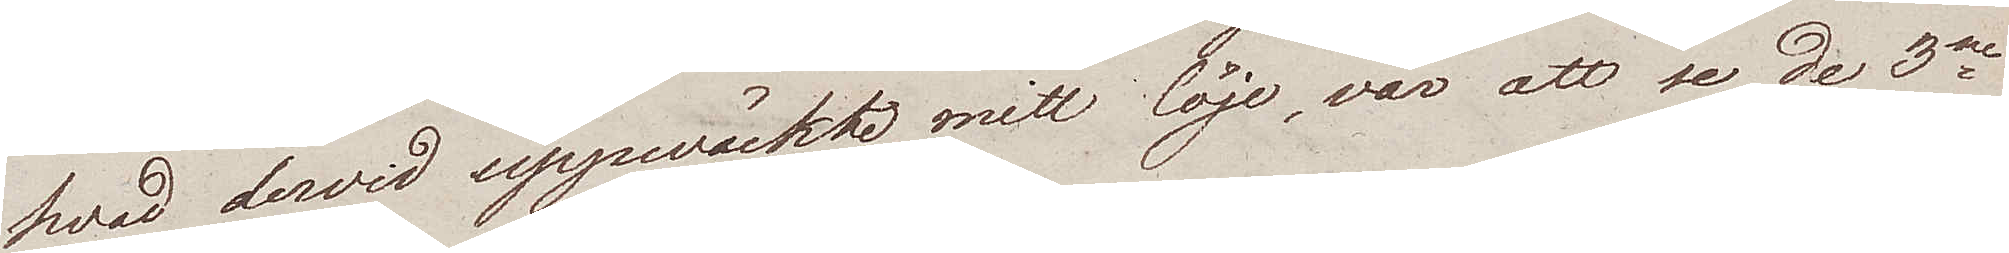hvad dervid uppwäckte mitt löje, var att se de 3ne
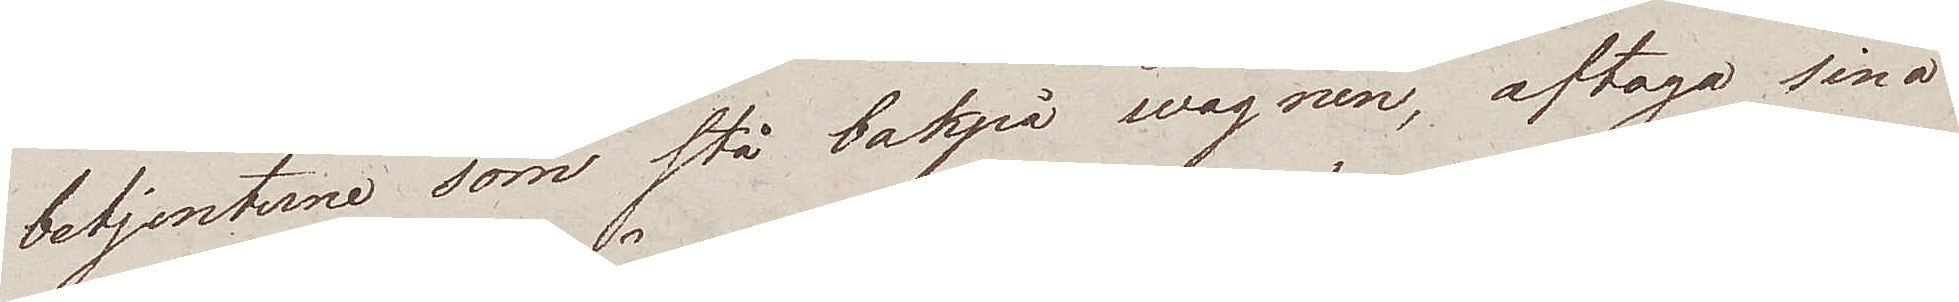betjenterne som stå bakpå wagnen, aftaga sina
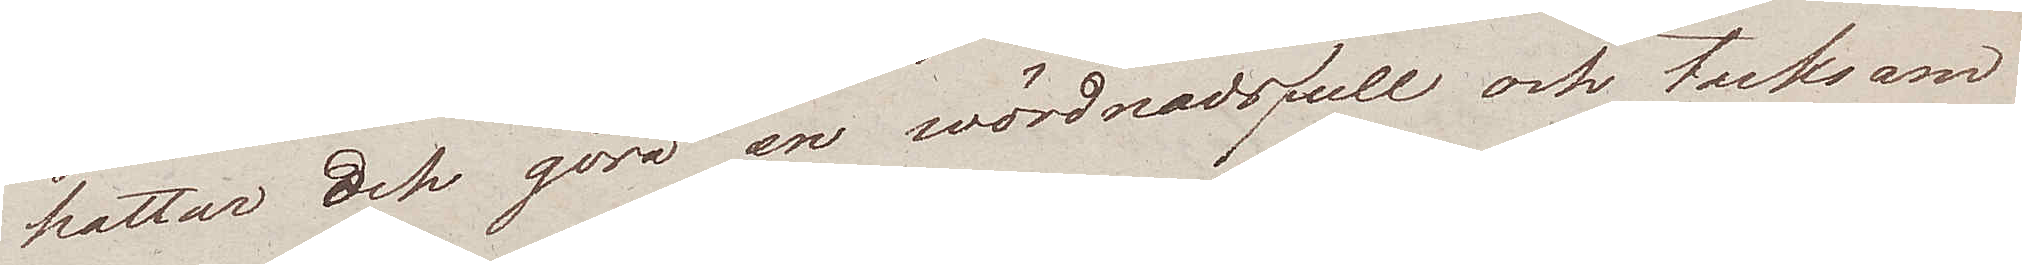hattar och göra en wördnadsfull och tacksam
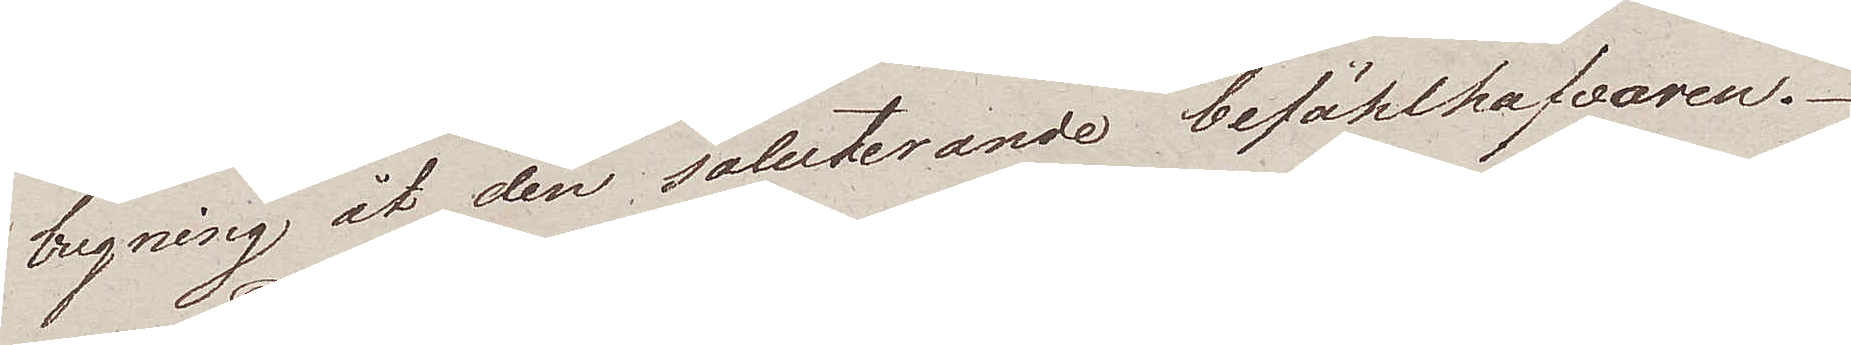bugning åt den saluterande befählhafvaren.
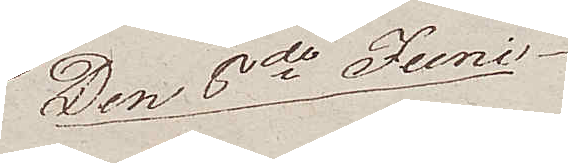Den 8de Juni
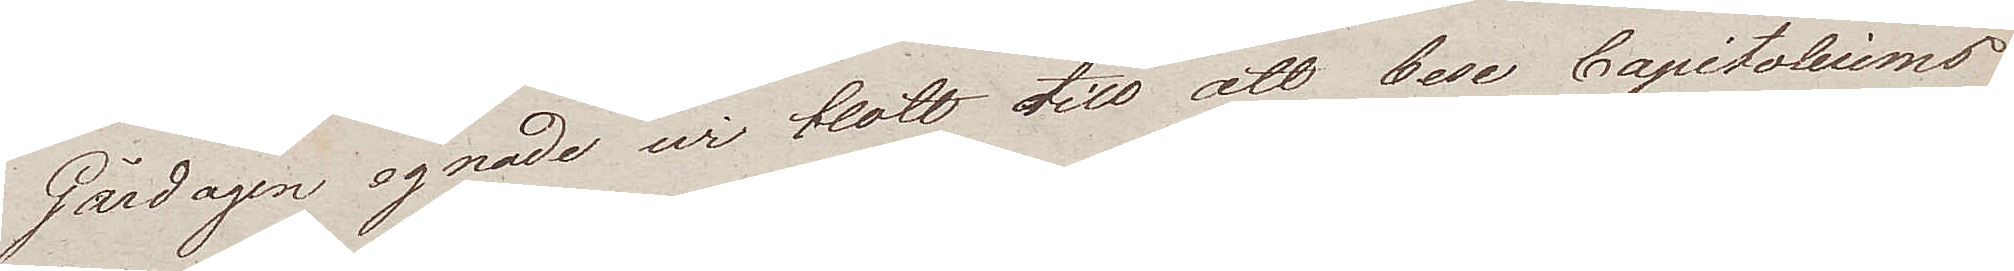Gårdagen egnade vi blott till att bese Capitoliums
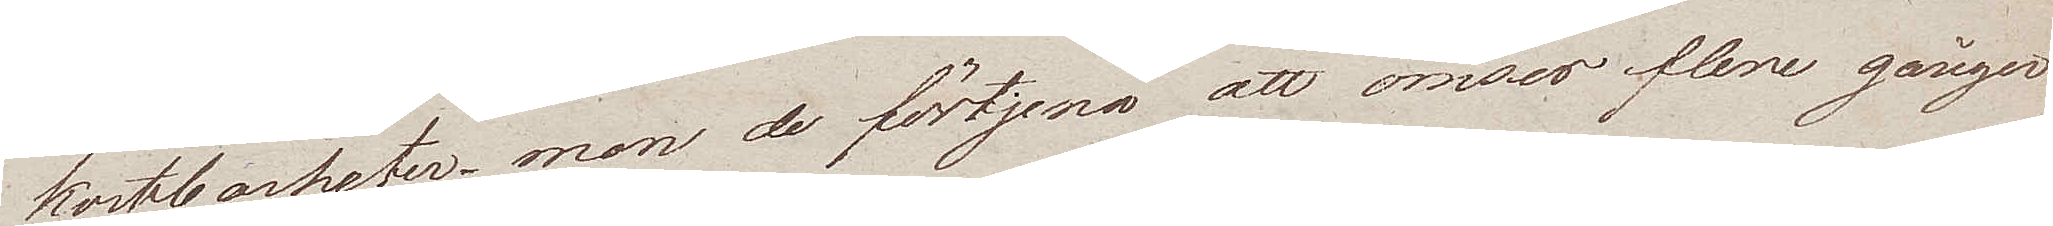kostbarheter, men de förtjena att omses flere gånger
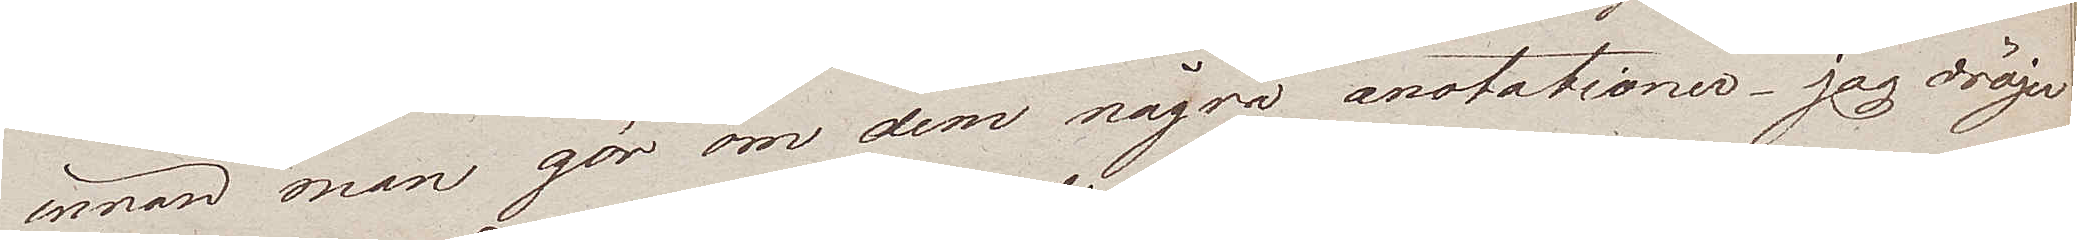innan man gör om dem några anotationer – jag dröjer
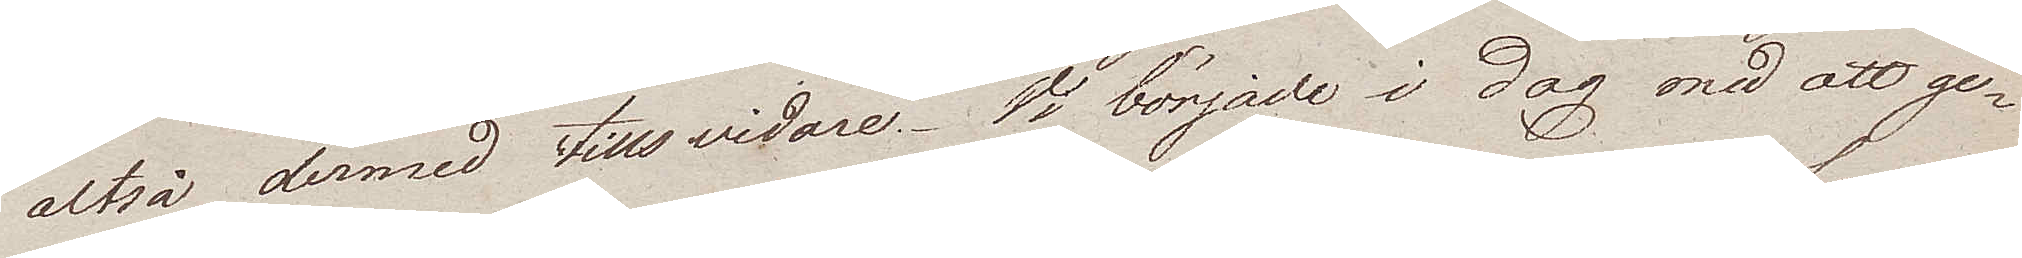altså dermed tillsvidare. Vi började i dag med att ge¬
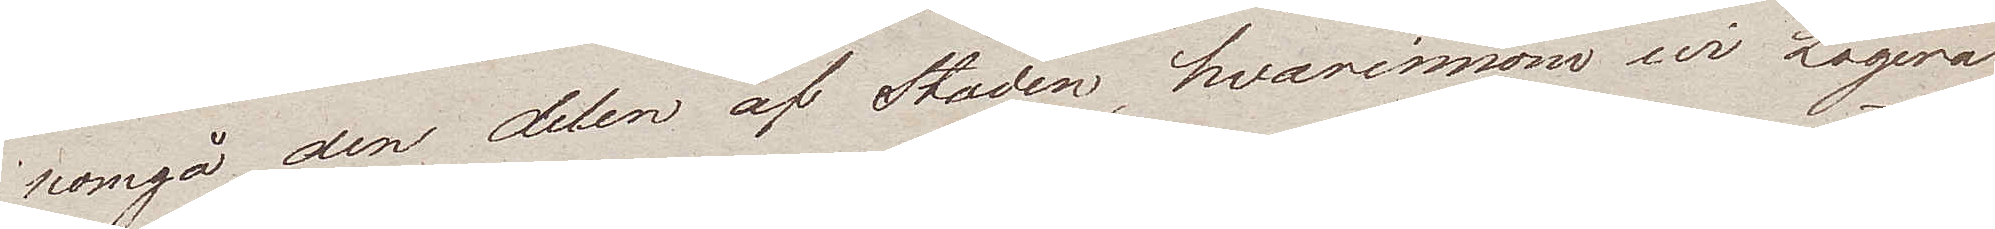nomgå den delen af Staden, hvarinnom wi Logera
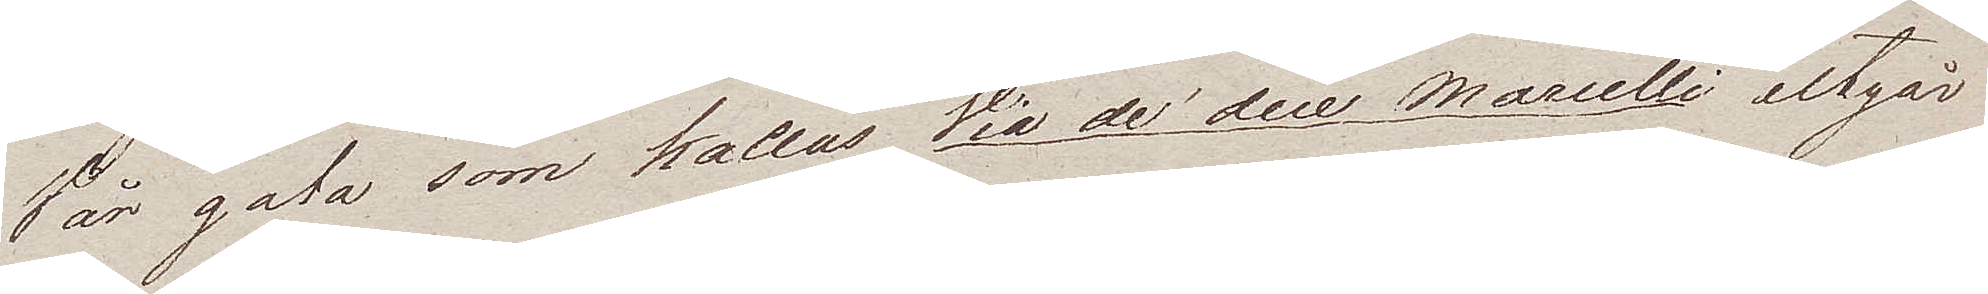Vår gata som kallas Via de due Marcelli utgår
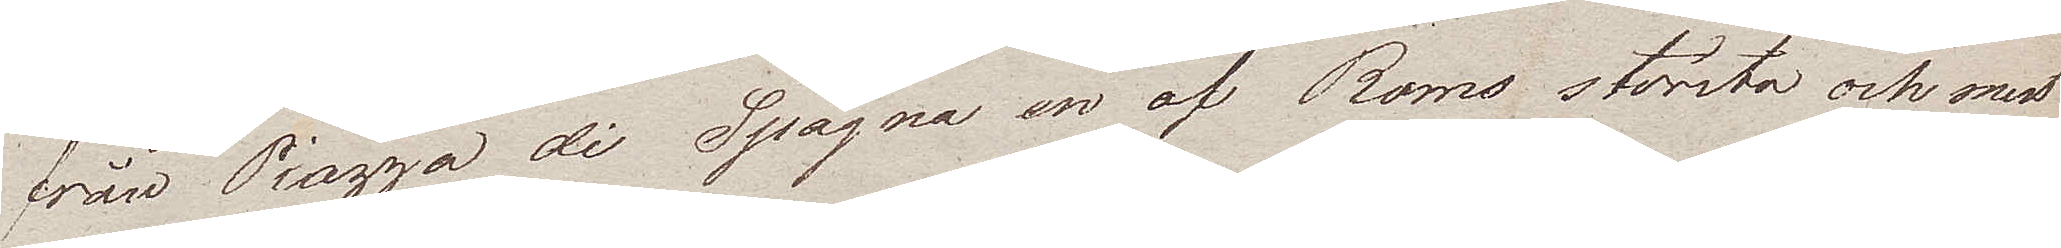från Piazza di Spagna en af Roms största och mest
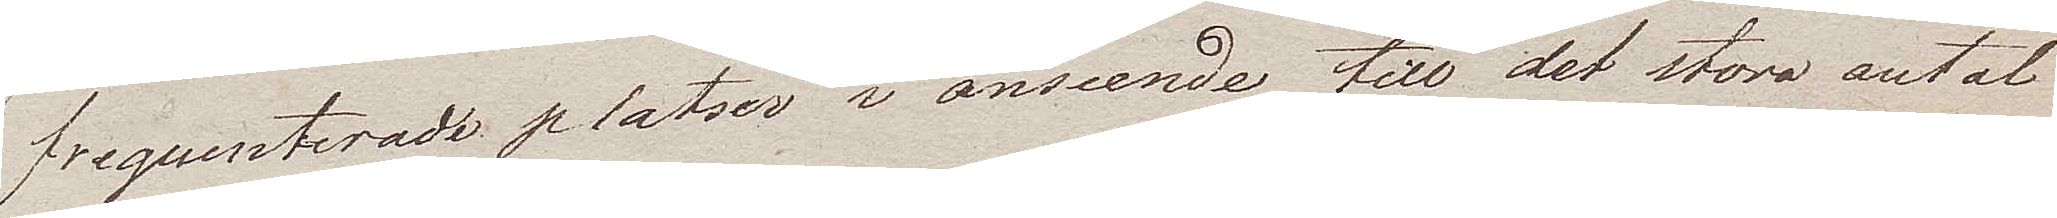frequenterade platser i anseende till det stora antal
